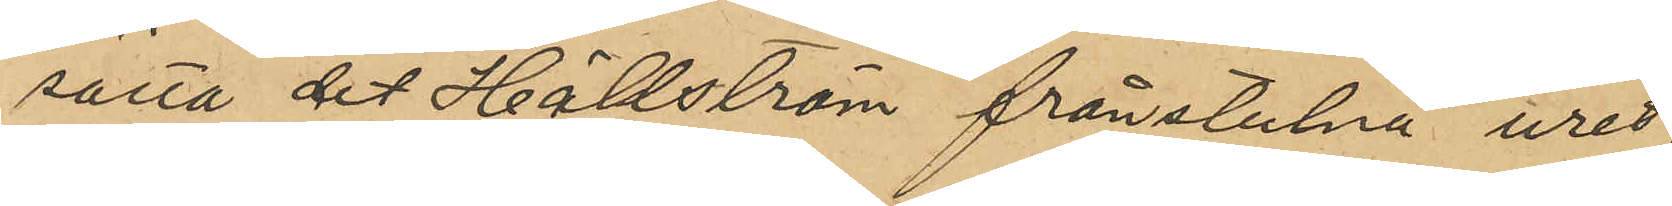sätta det Hällström frånstulna uret,
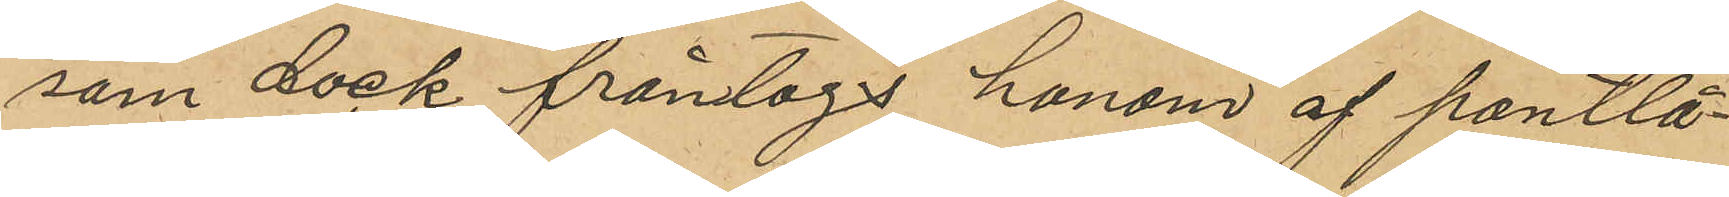som dock fråntogs honom af pantlå¬
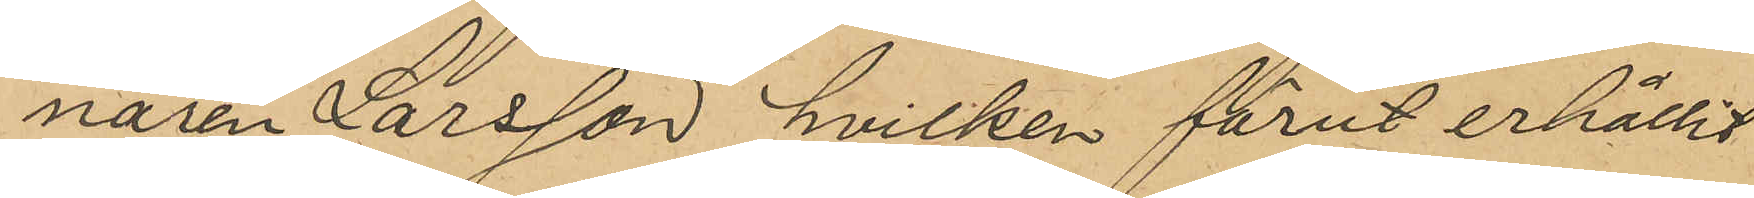naren Larsson hvilken förut erhållit
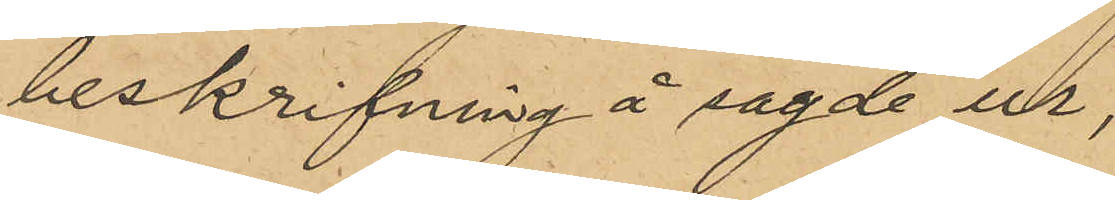beskrifning å sagde ur.
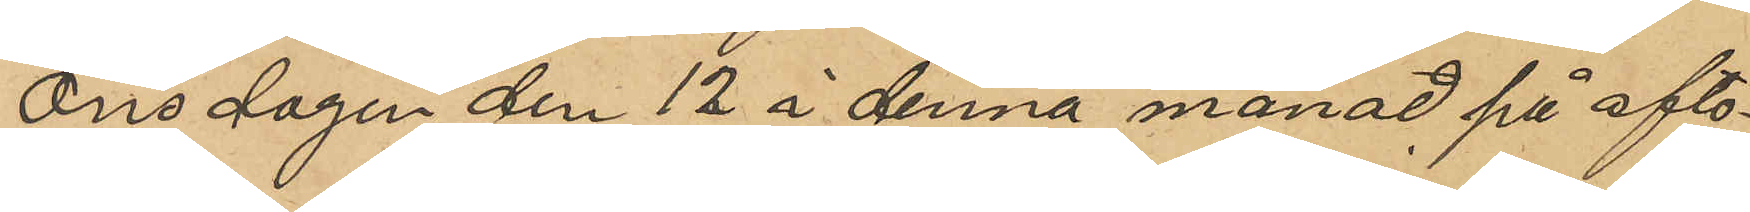Onsdagen den 12 i denna månad på afto¬
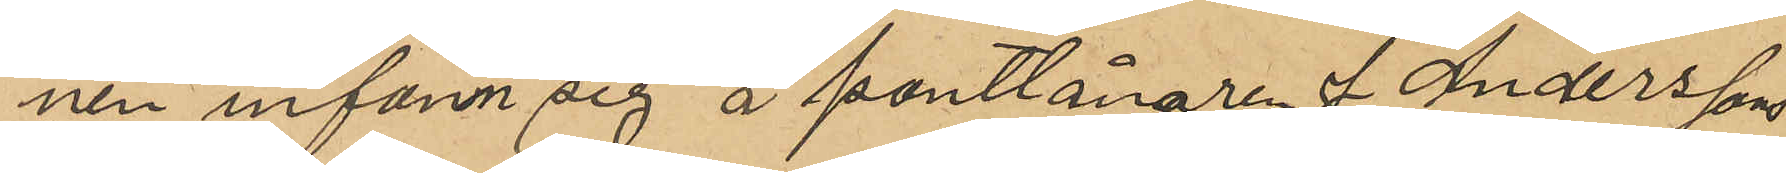nen infann sig å pantlånaren J. Anderssons
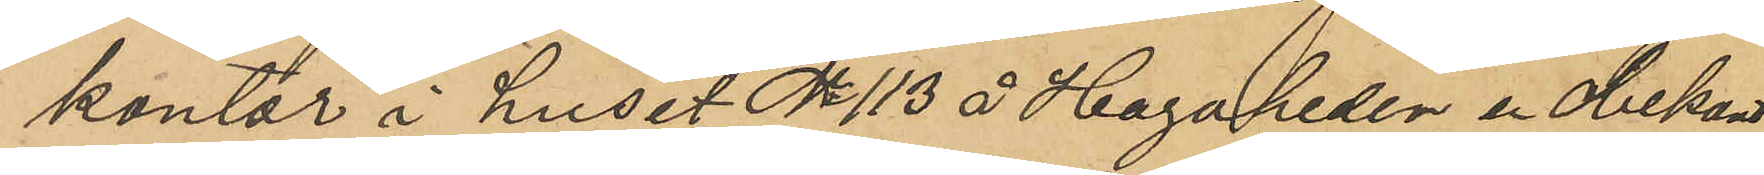kontor i huset No 113 å Hagaheden en obekant
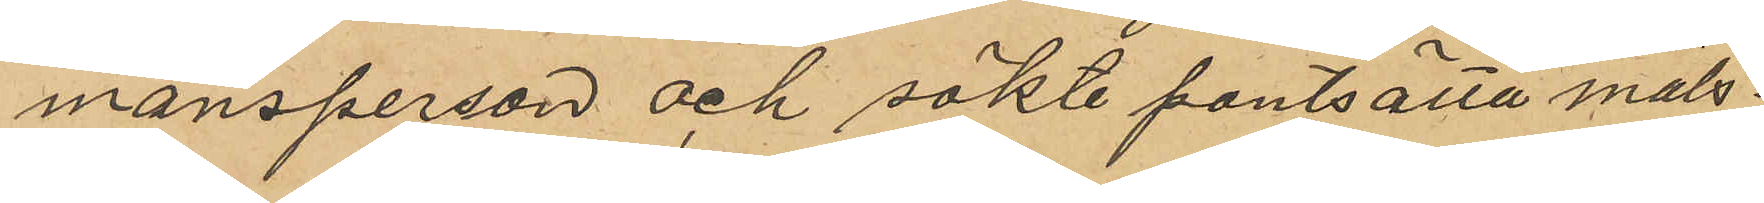mansperson och sökte pantsätta måls¬
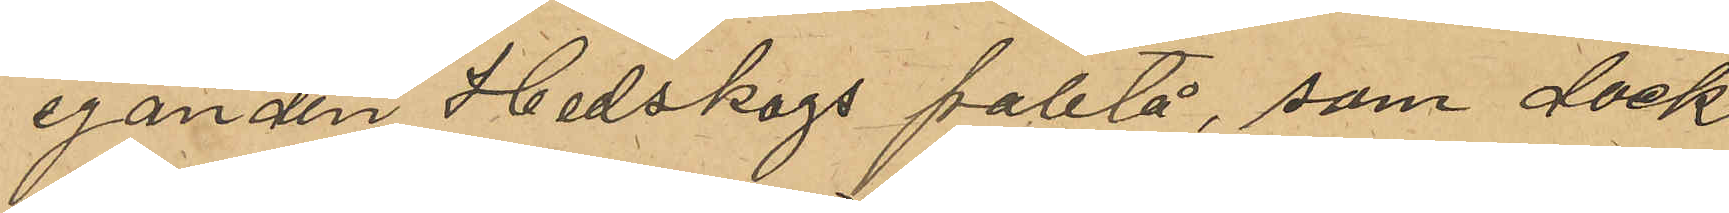eganden Hedskogs paletå, som dock
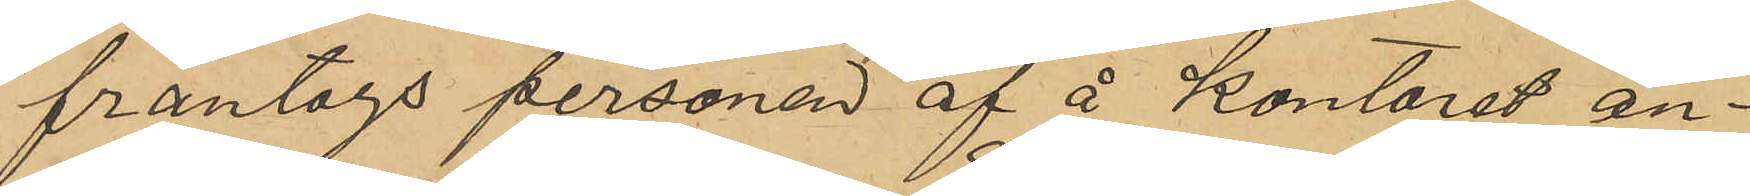fråntogs personen af å kontoret an¬
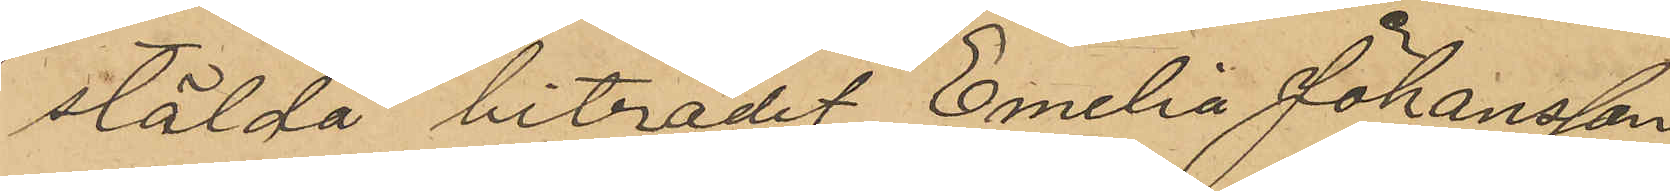stälda bitradet Emilia Johansson
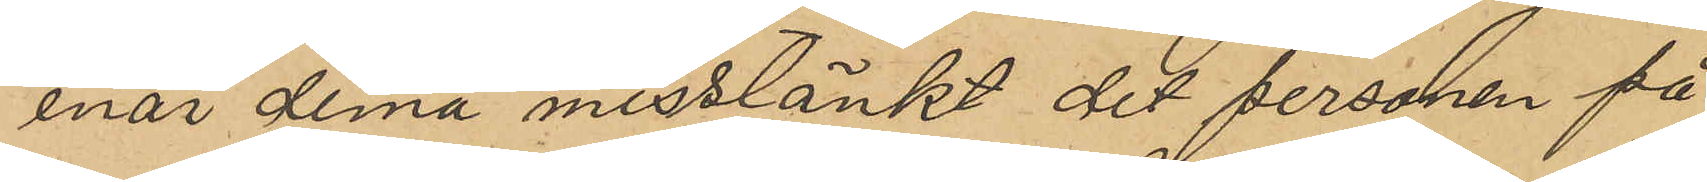enär denna misstänkt det personen på
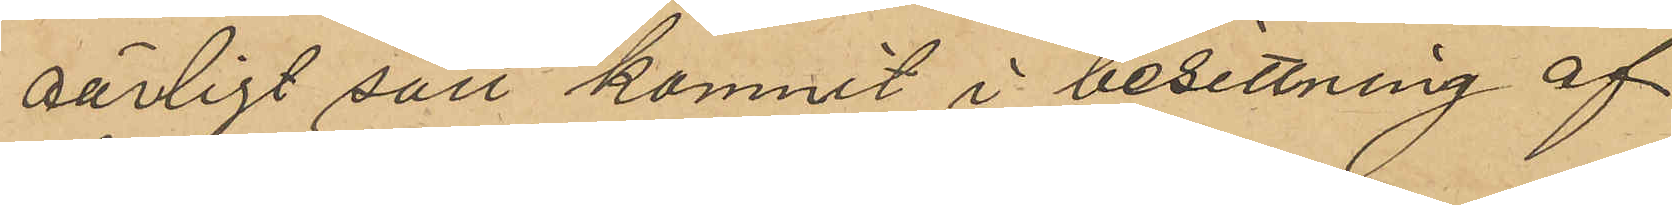oärligt sätt kommit i besittning af
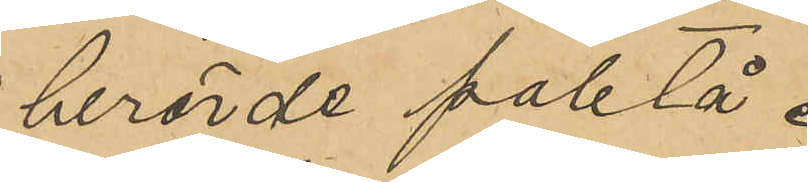berörde paletå.
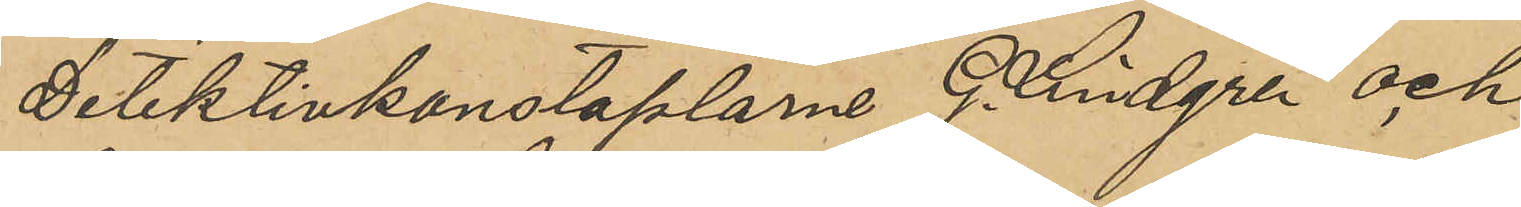Detektivkonstaplarne G. Lindgren och
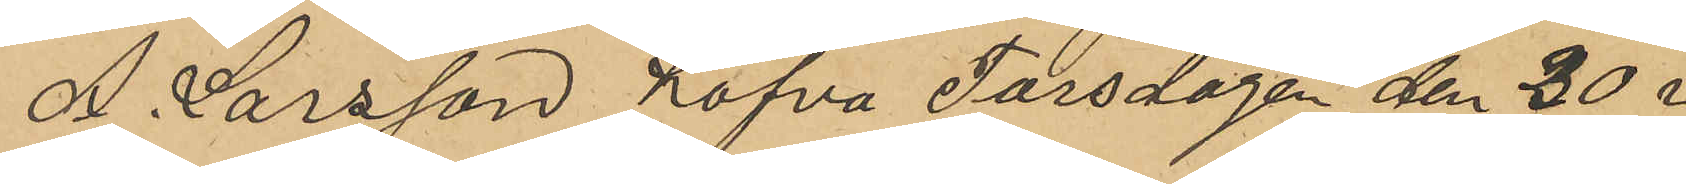A. Larsson hafva Torsdagen den 30 i
